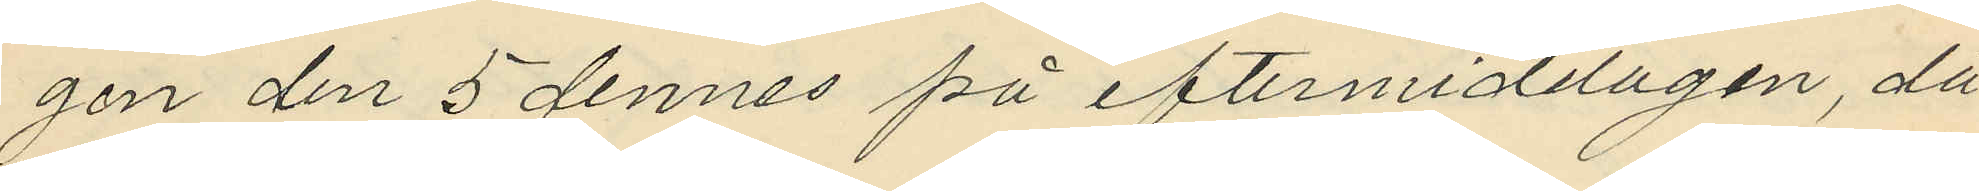gen den 5 dennes på eftermiddagen, då
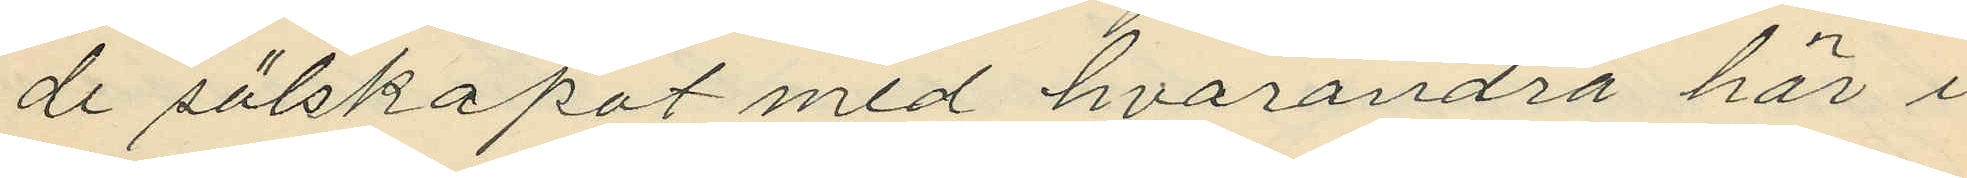de sälskapat med hvarandra här i
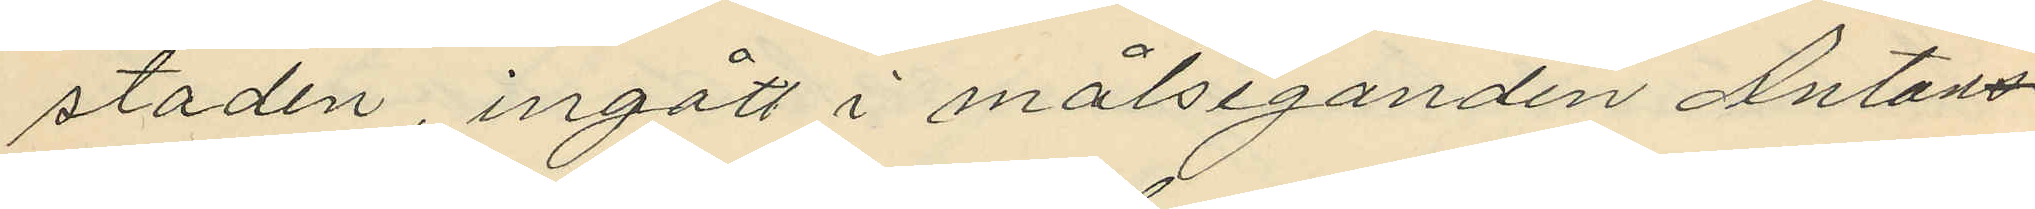staden, ingått i målseganden Antons¬
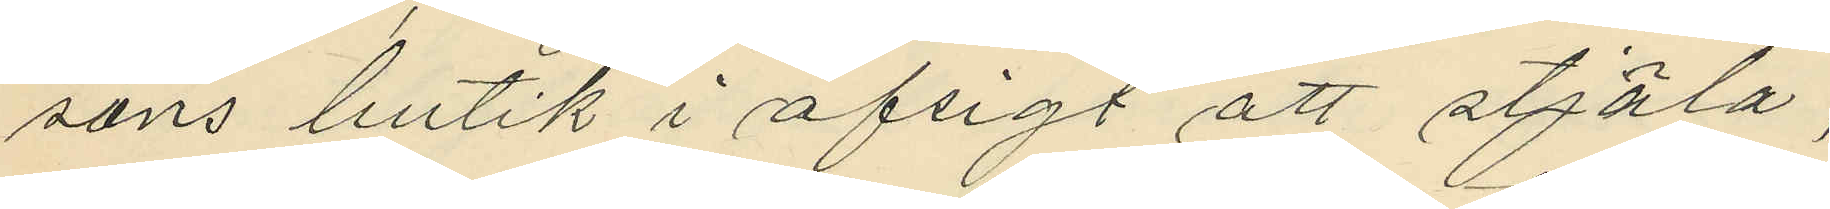sons butik i afsigt att stjäla;
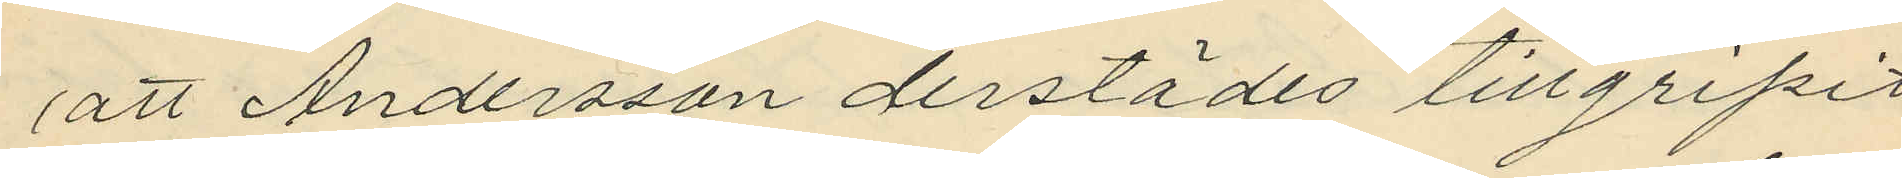att Andersson derstädes tillgripit
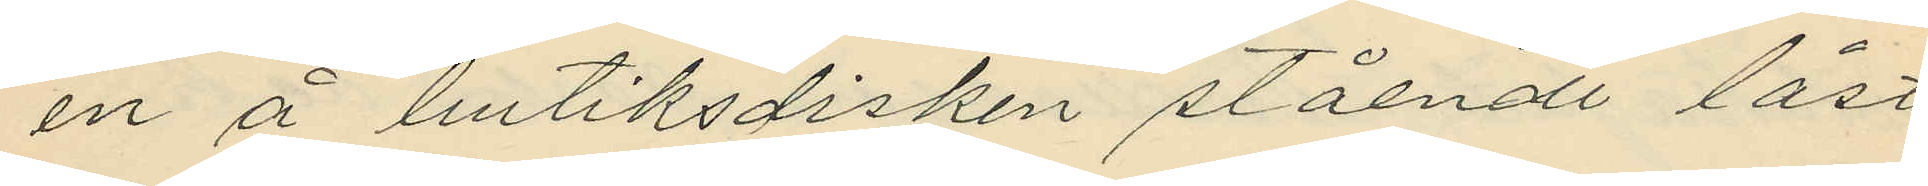en å butiksdisken stående låst
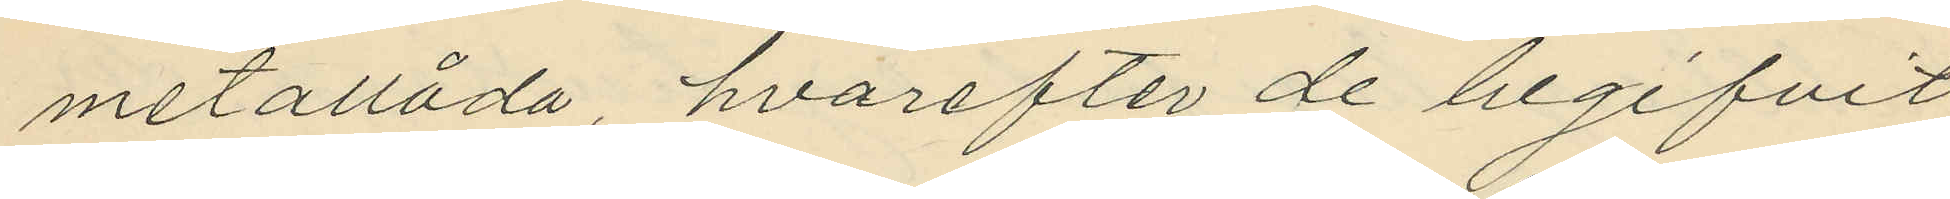metallåda, hvarefter de begifvit
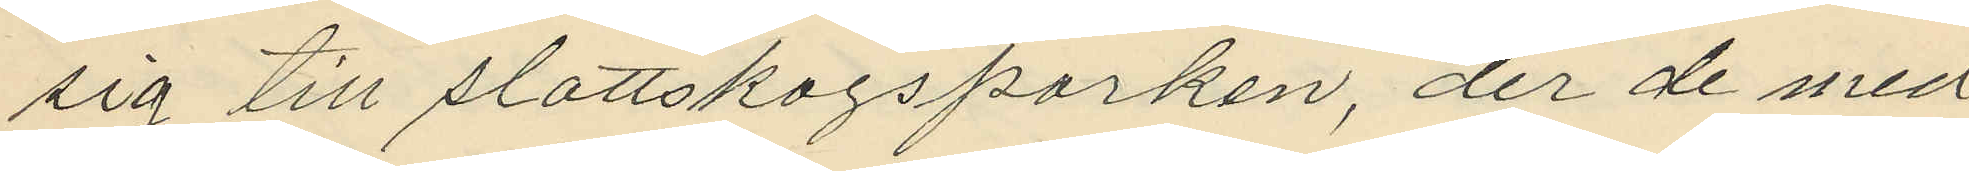sig till slottskogsparken, der de med
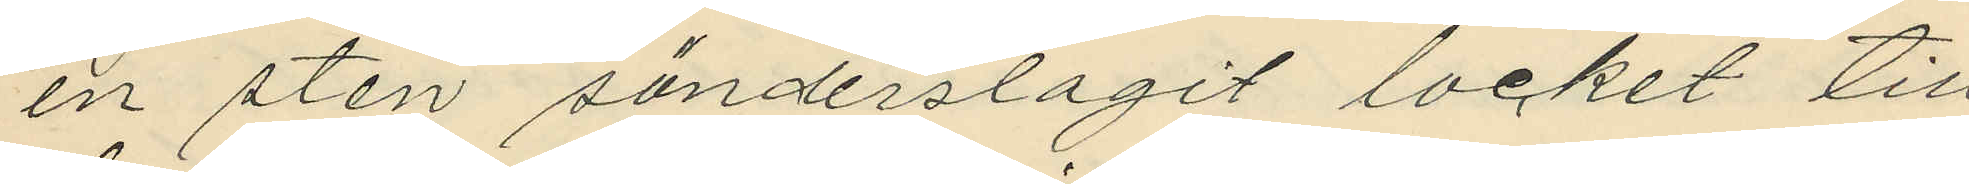en sten sönderslagit locket till
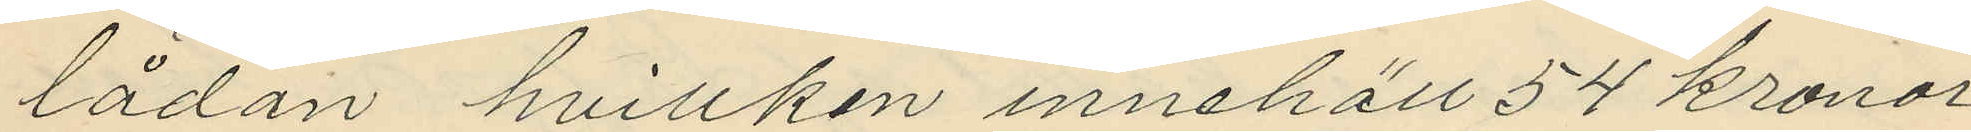lådan hvillken innehöll 54 kronor,
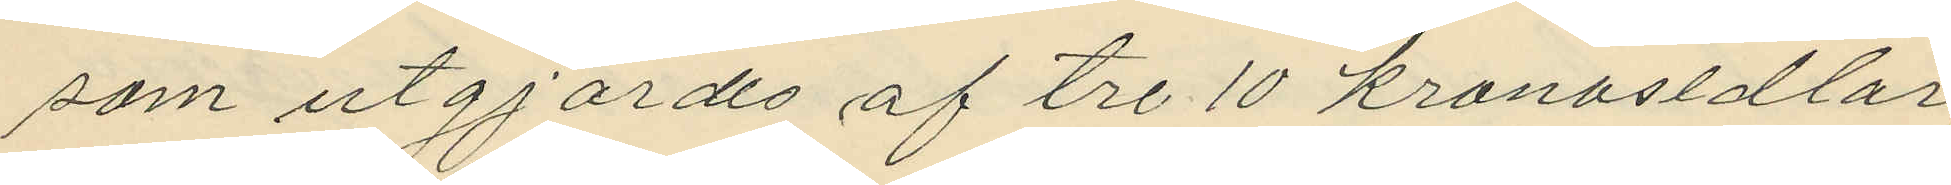som utgjordes af tre 10 kronosedlar,
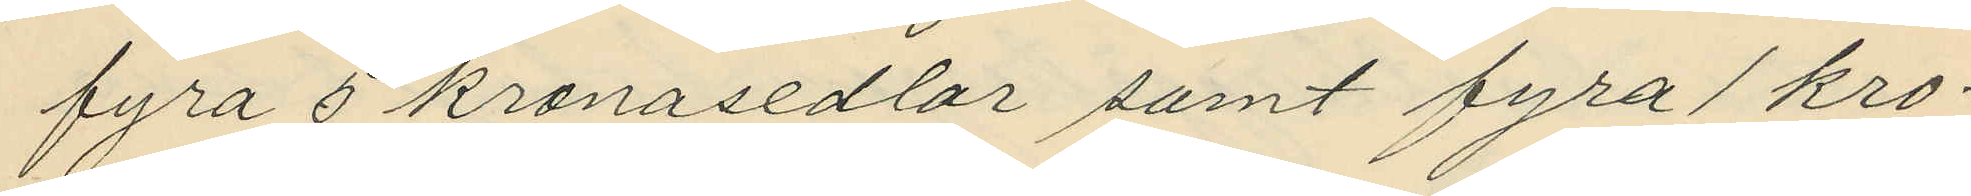fyra 5 kronosedlar samt fyra 1 kro¬
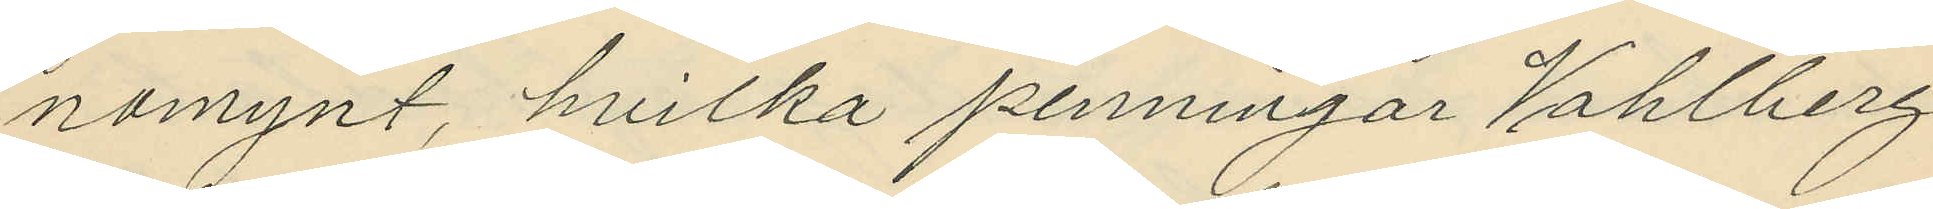nomynt, hvilka penningar Vahlberg
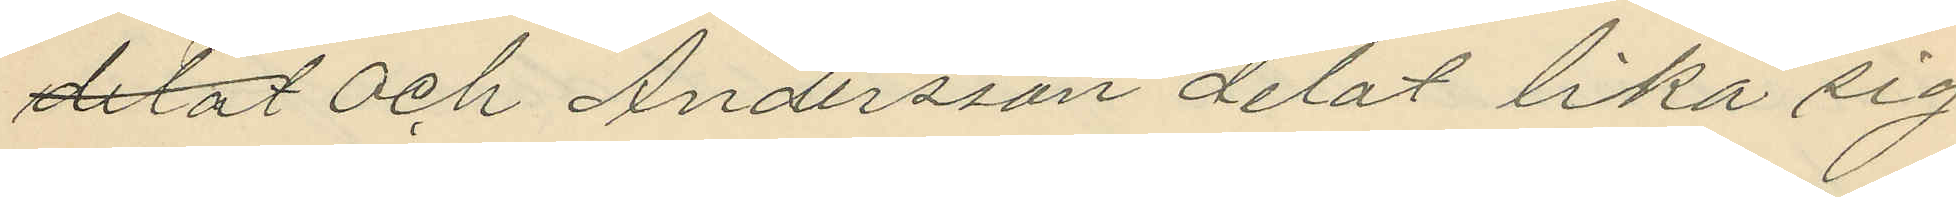delat och Andersson delat lika sig
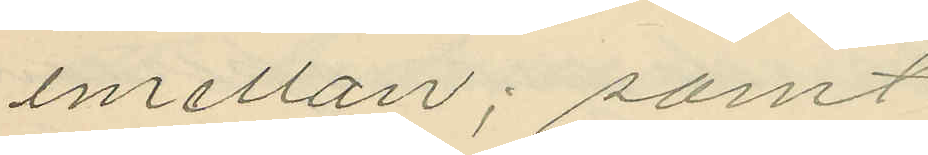emellan; samt
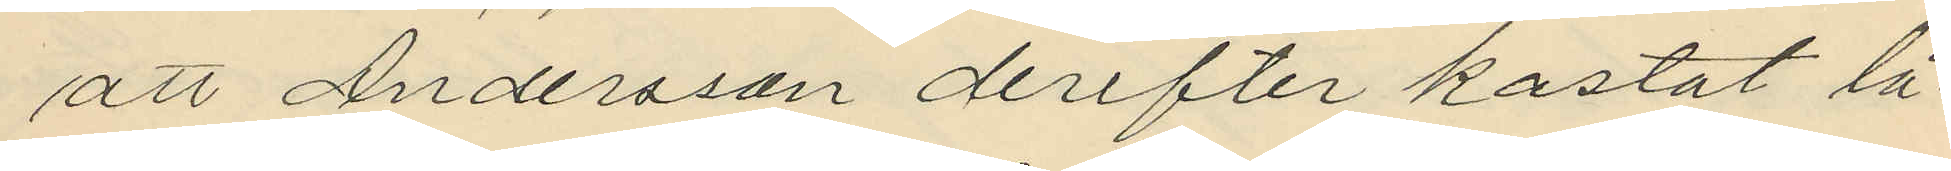att Andersson derefter kastat lå¬
